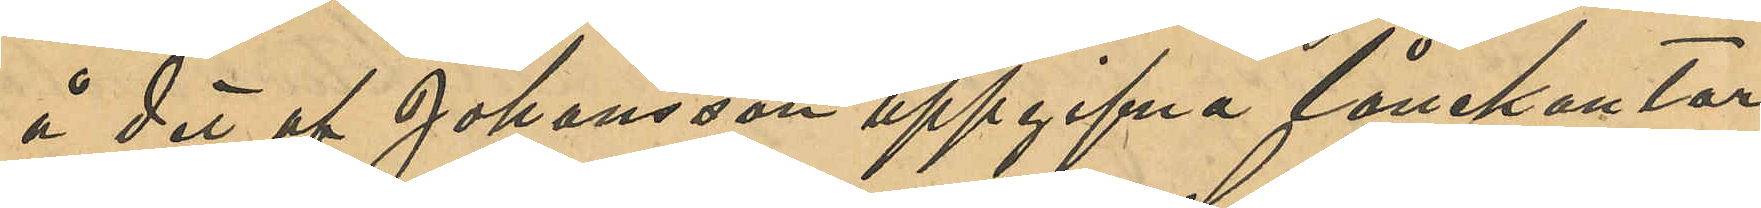å det af Johansson uppgifna lånekontor
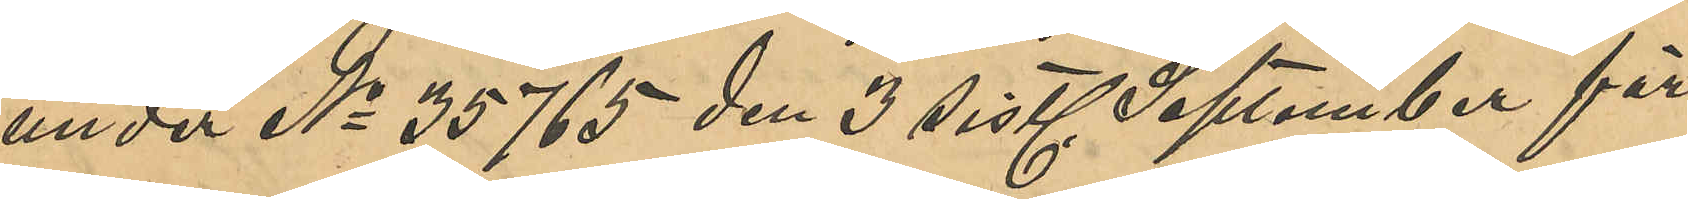under No 55765 den sistl. September för
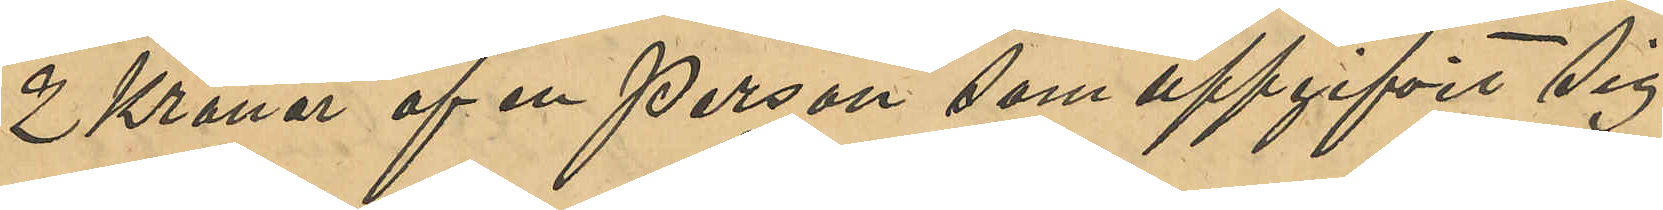2 Kronor af en person som uppgifvit sig
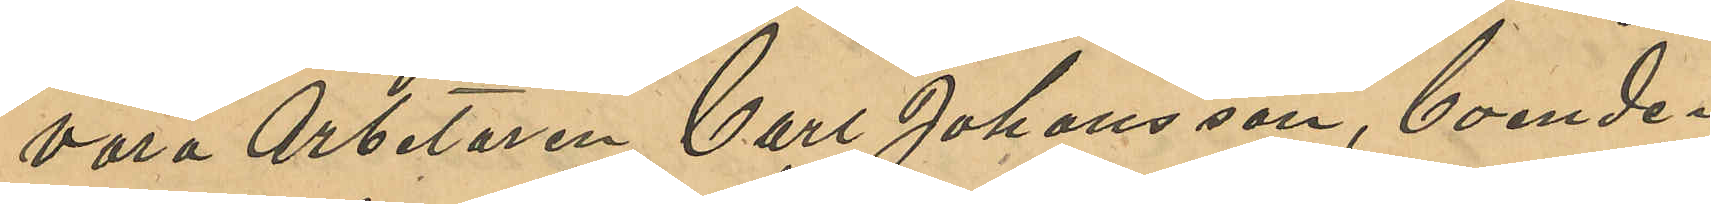vara Arbetaren Carl Johansson, boende i
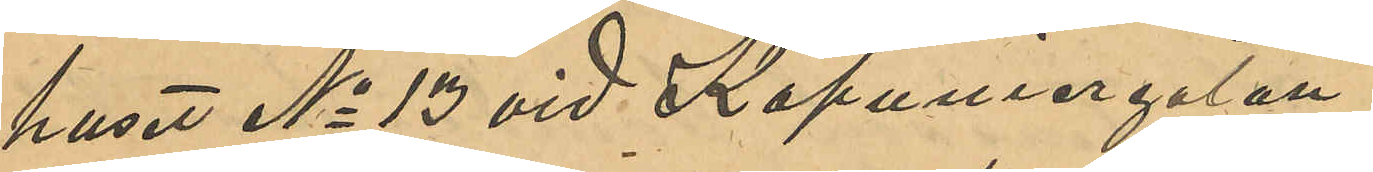huset No 13 vid Kapuniergatan.
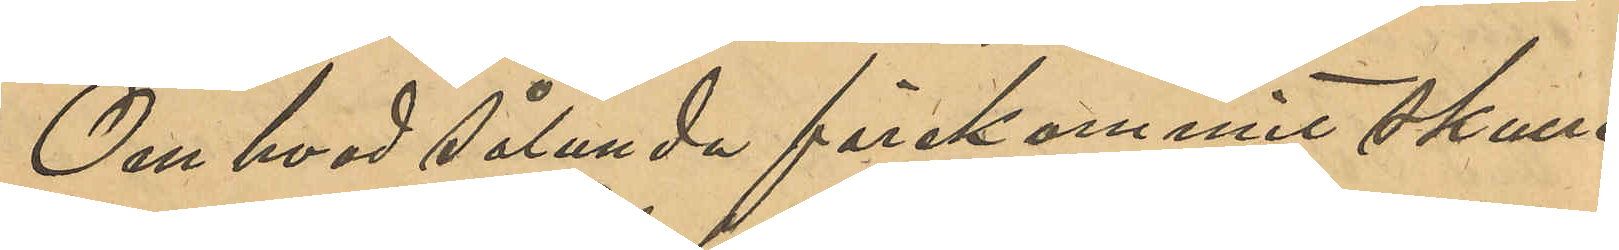Om hvad sålunda förekommit skulle
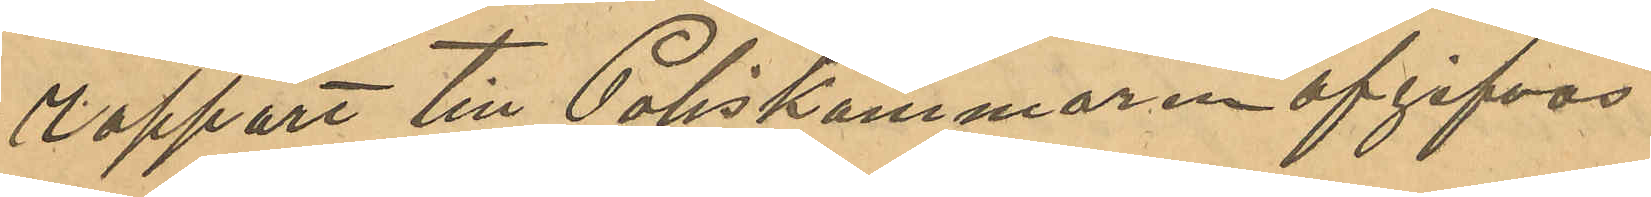rapport till Poliskammaren afgifvas.
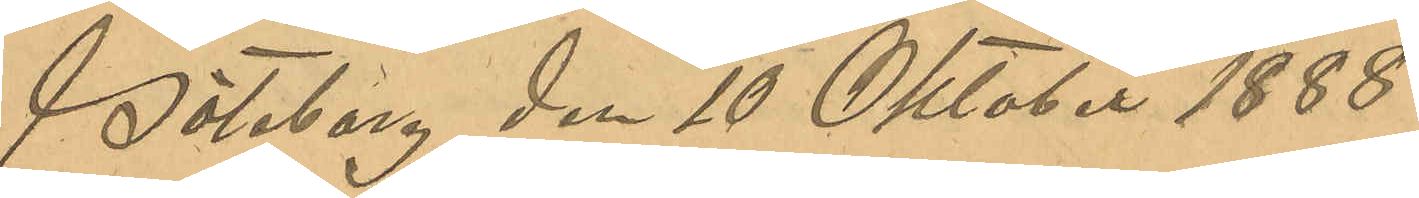Göteborg den 10 Oktober 1888.
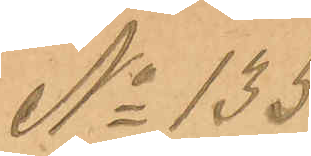No 135
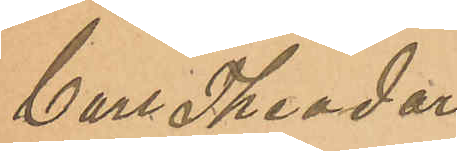Carl Theodor
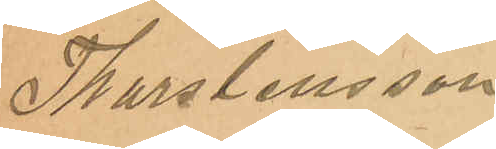Thorstensson
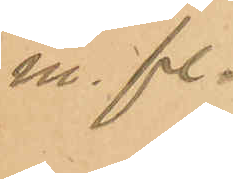m. fl.
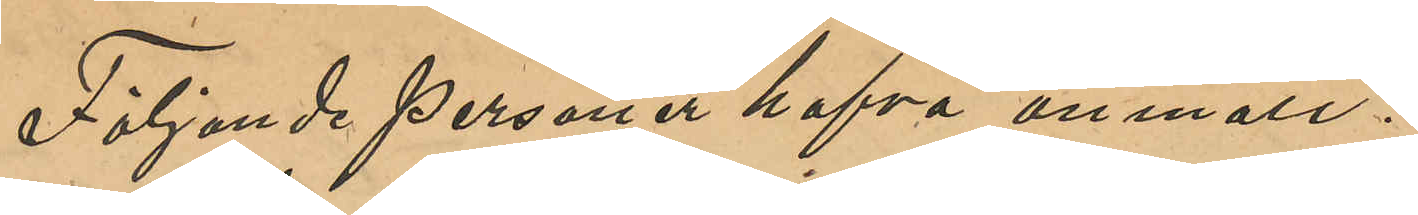Följande personer hafva anmält:
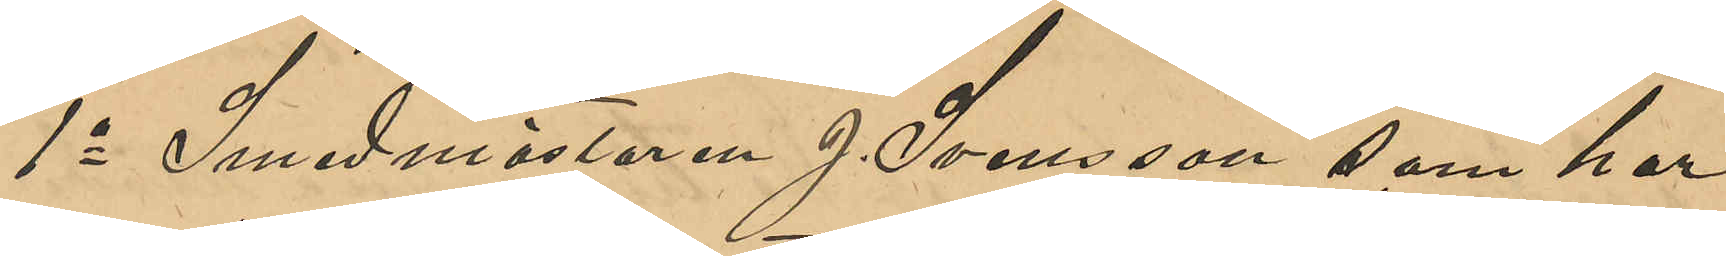1o Smedsmästaren J. Svensson som har
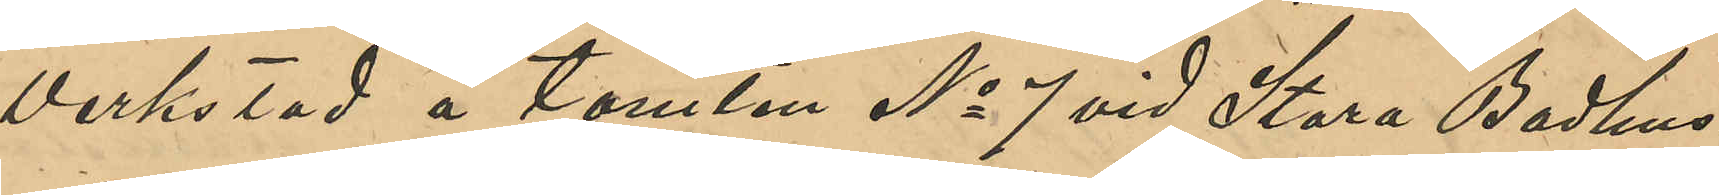verkstad å tomten No 7 vid Stora Badhus¬
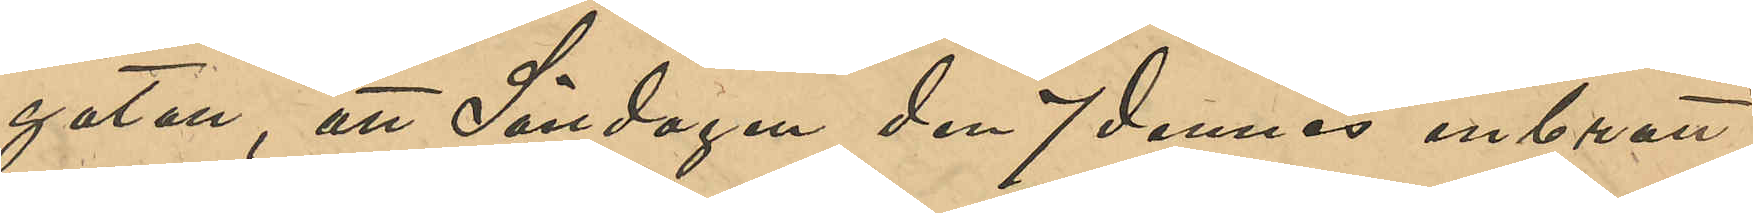gatan, att Söndagen den 7 dennes inbrott
